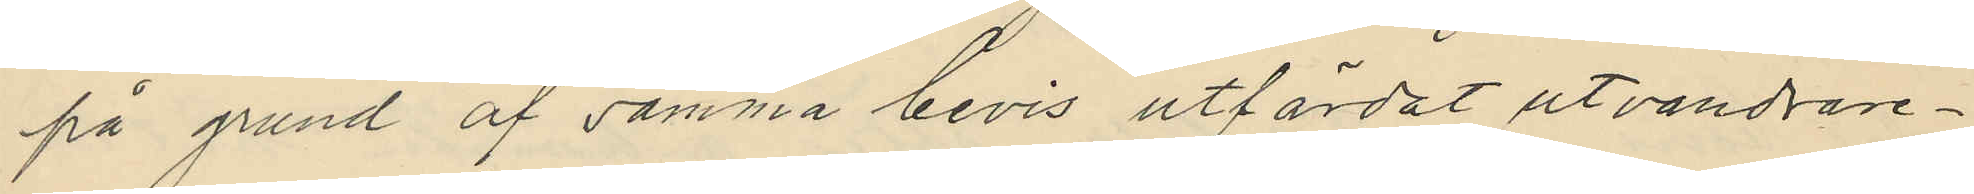på grund af samma bevis utfärdat utvandrare¬
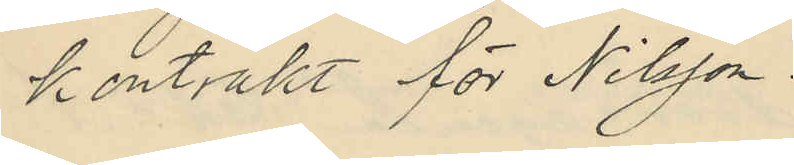kontrakt för Nilsson.
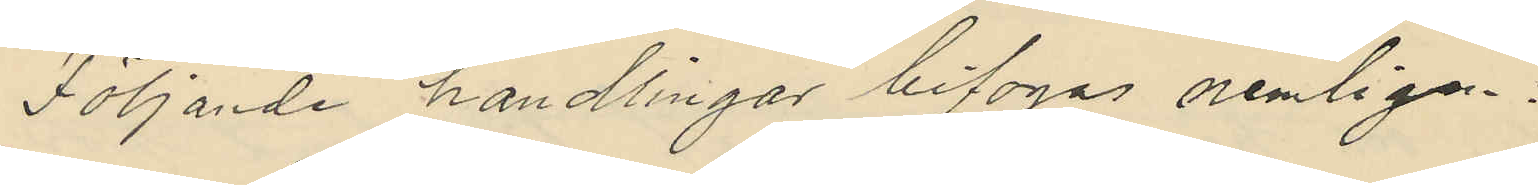Följande handlingar bifogas nemligen.
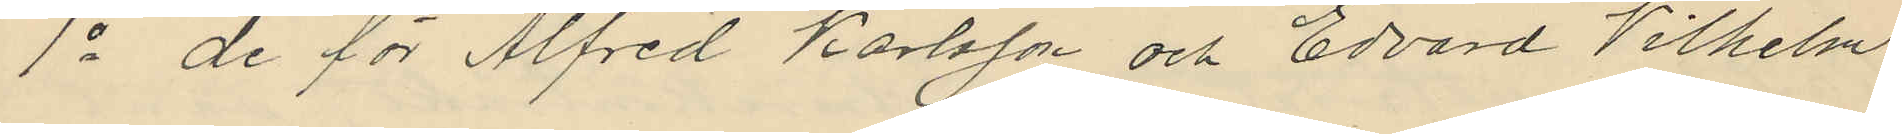1o de för Alfred Karlsson och Edvard Vilhelm
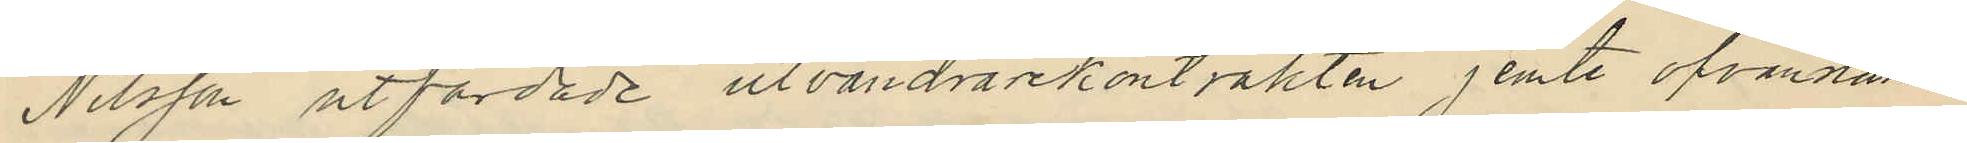Nilsson utfärdade utvandrarekontrakten jemte ofvannämn¬
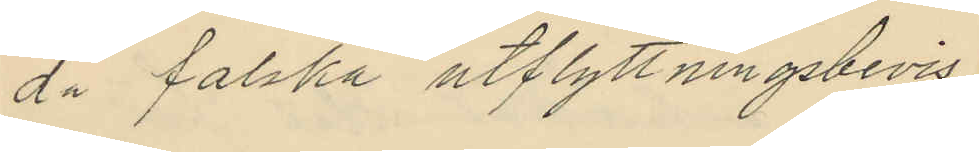da falska utflyttningsbevis
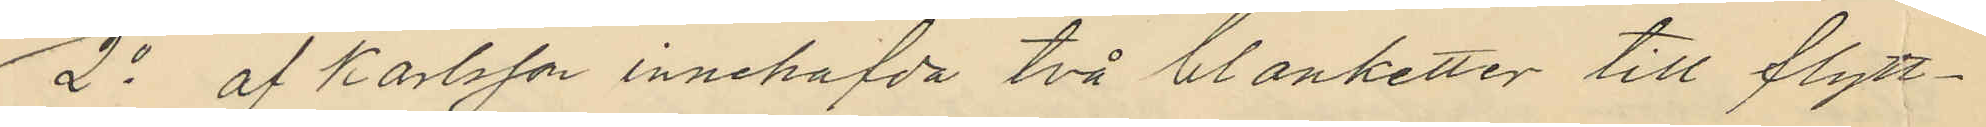2o af Karlsson innehafda två blanketter till flytt¬
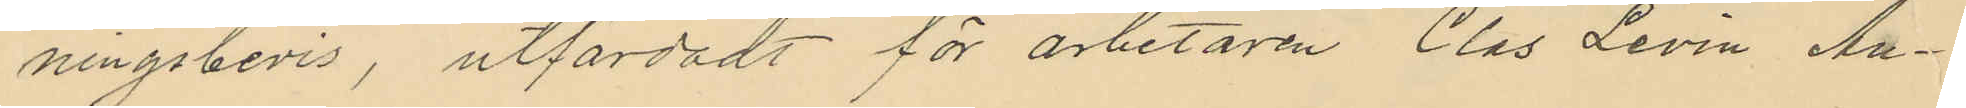ningsbevis, utfärdadt för arbetaren Clas Levin An¬
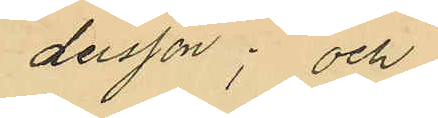dersson; och
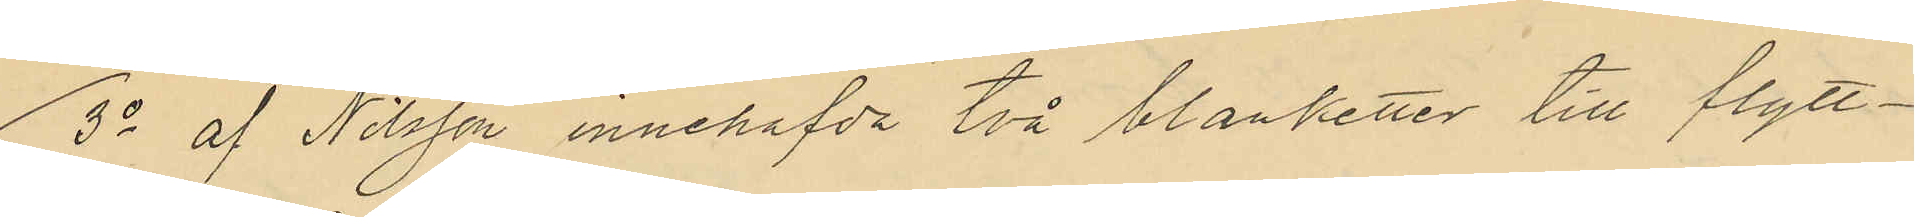3o af Nilsson innehafvda två blanketter till flytt¬
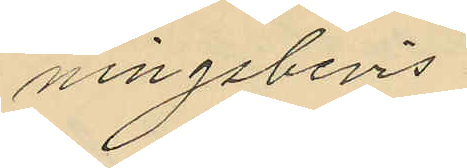ningsbevis.
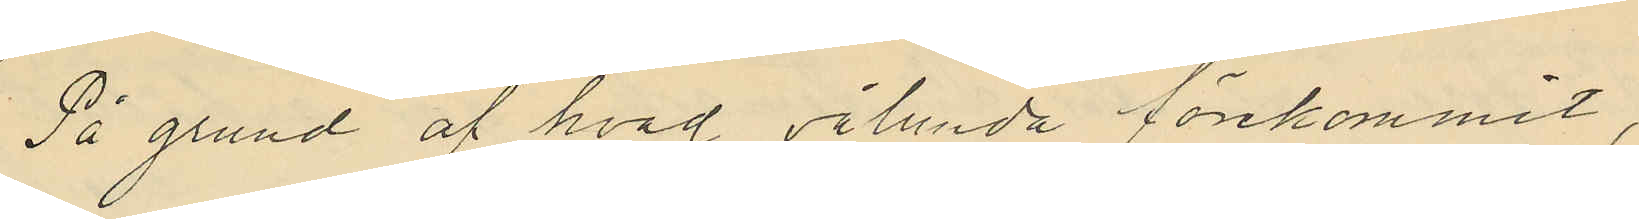På grund af hvad sålunda förekommit,
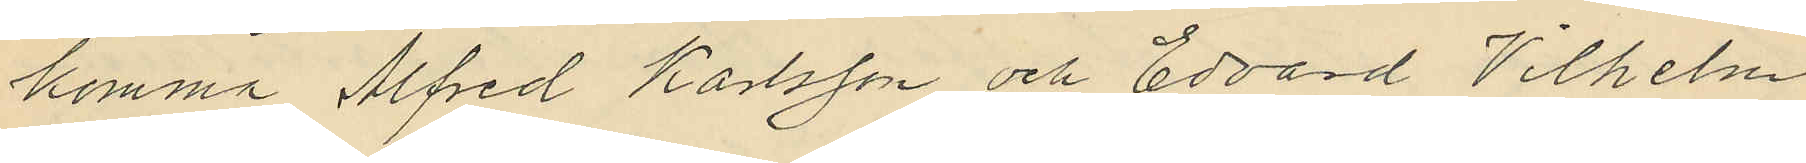komma Alfred Karlsson och Edvard Vilhelm
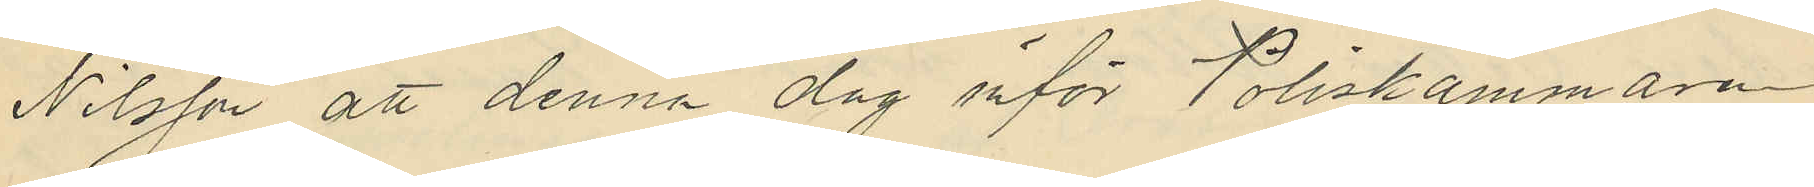Nilsson att denna dag inför Poliskammaren
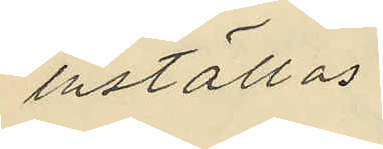inställas.
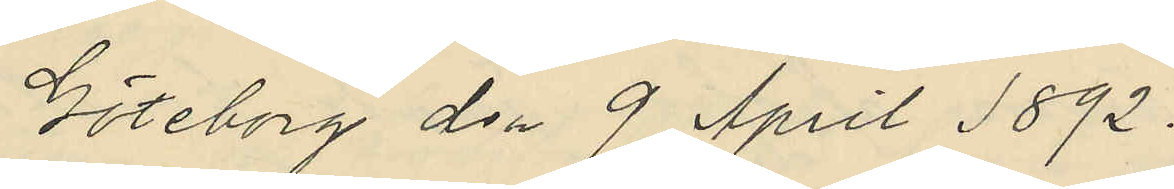Göteborg den 9 April 1892.
